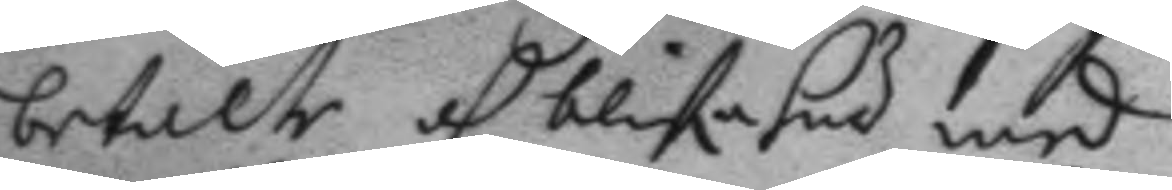betalte oh blife här med
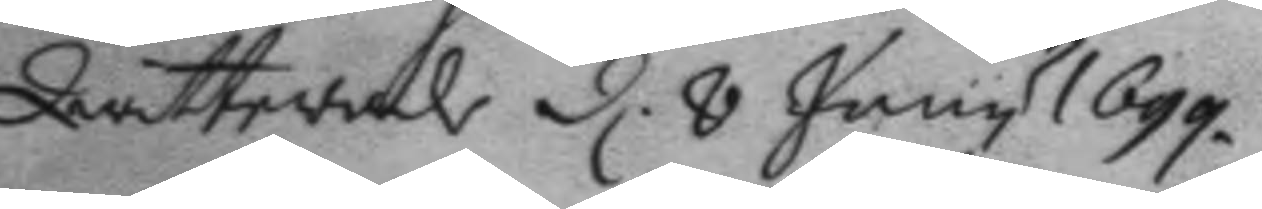Qwitterade d. 8 Juny 1699.
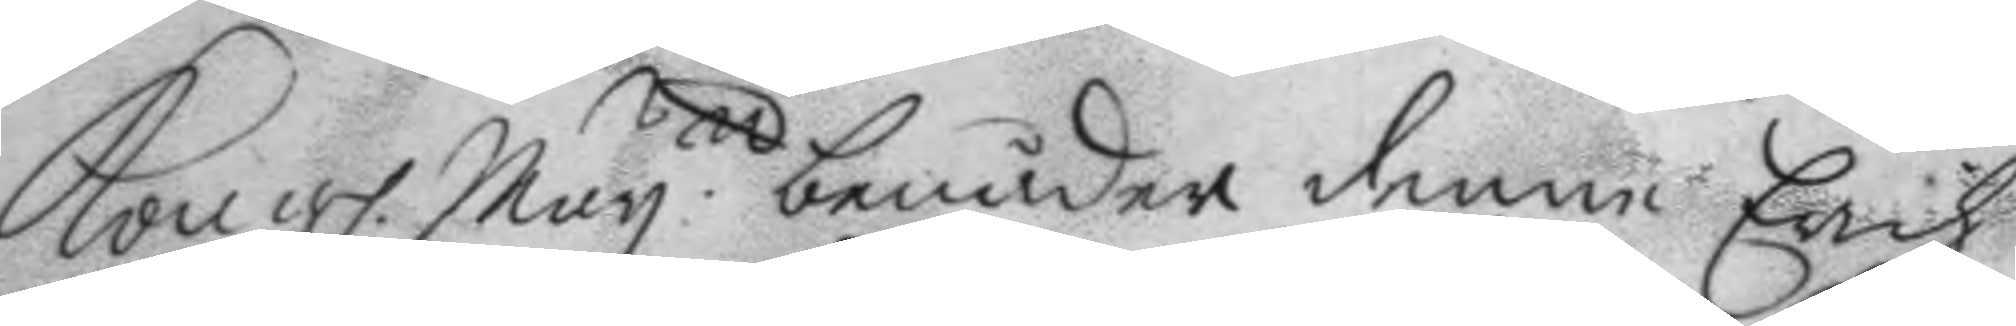Kongl. May.tt benåder denne Erich
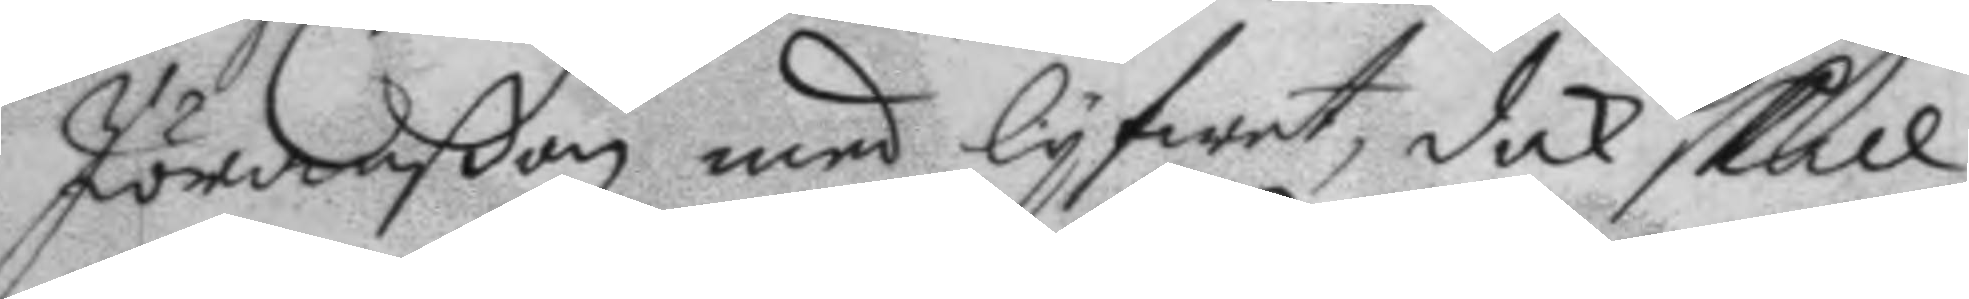Jöranon med lyfwet, dock skall
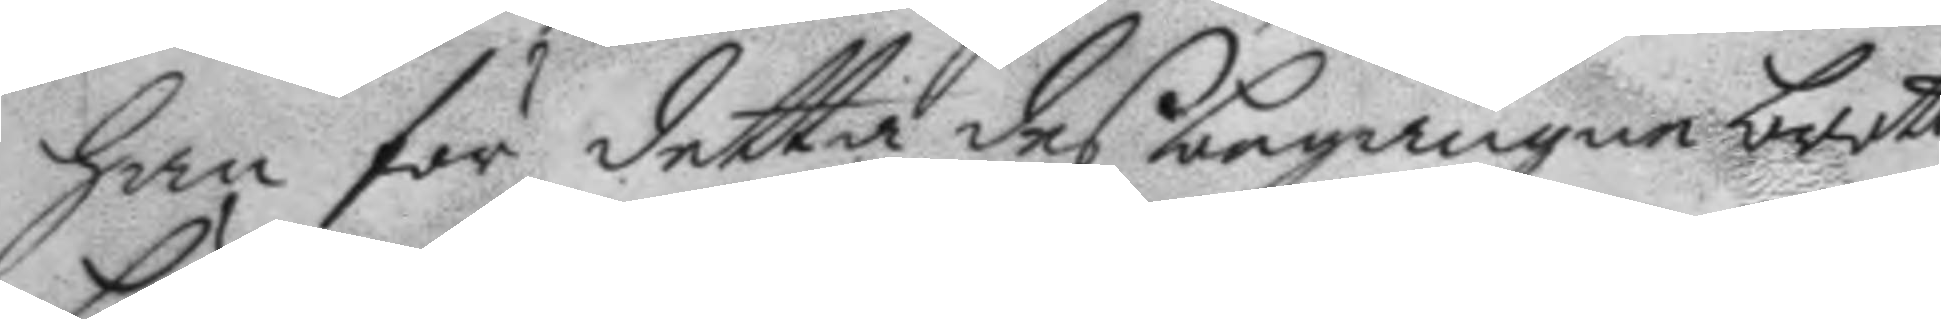han för detta des begångne brott
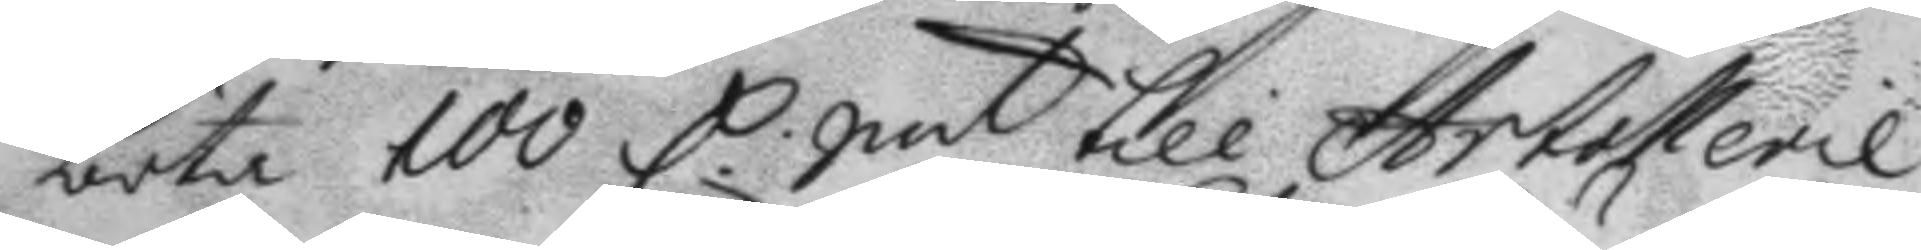böta 100 C. Smt till Artollerie
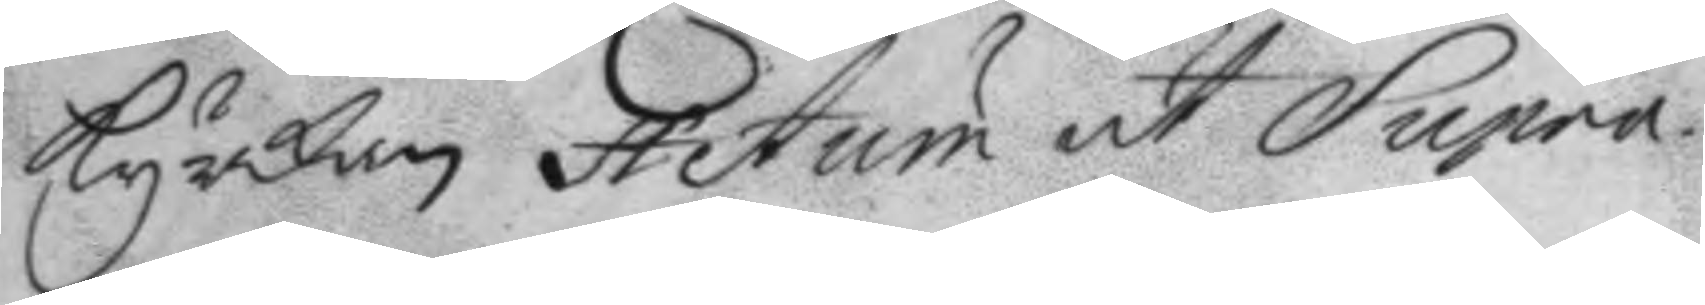kyrkan Actum ut Supra.
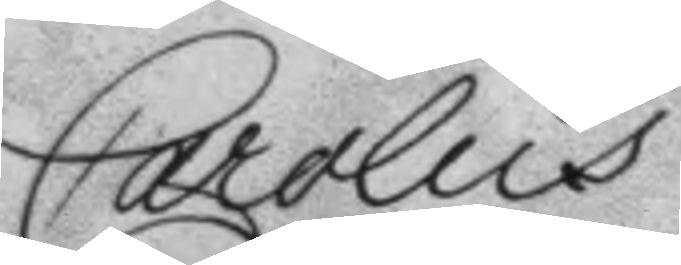Carolus
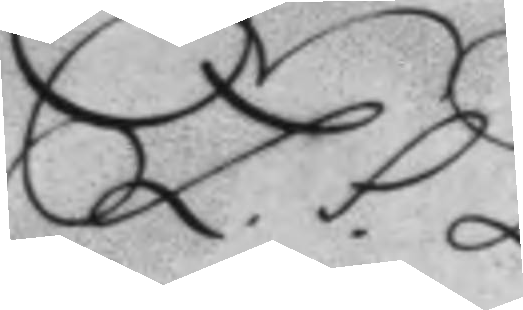L.S.
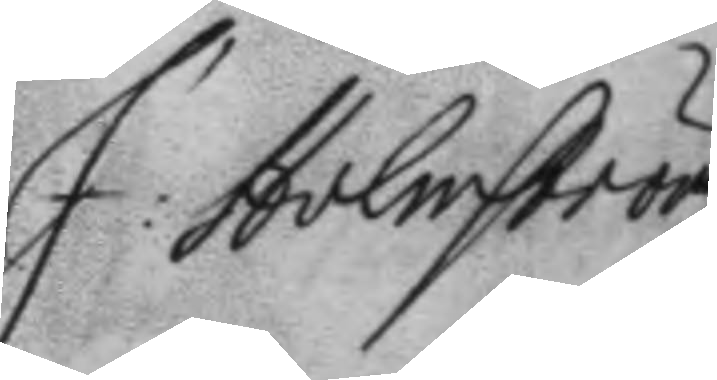J: Holmström
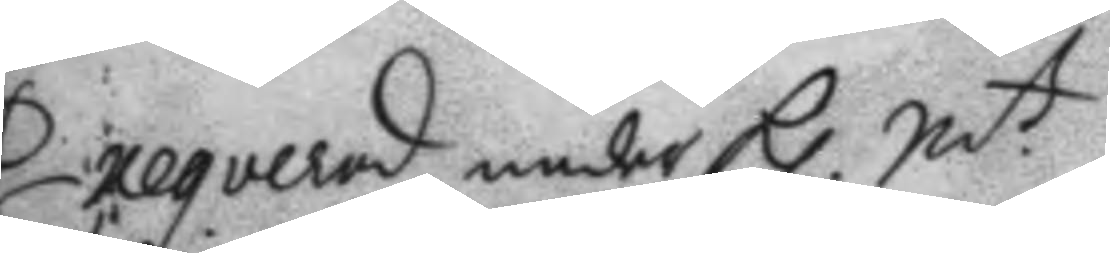Exeqverad under Kl. N.t
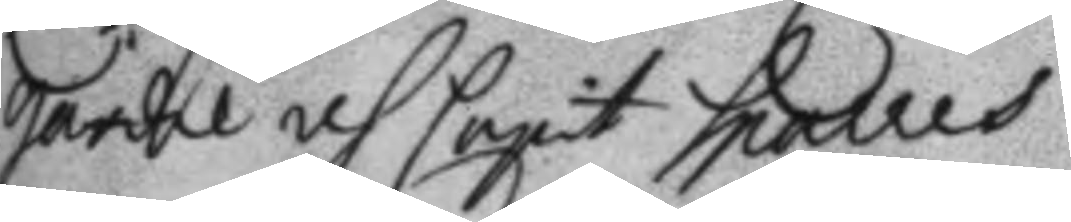gardie oh Capit Sparres
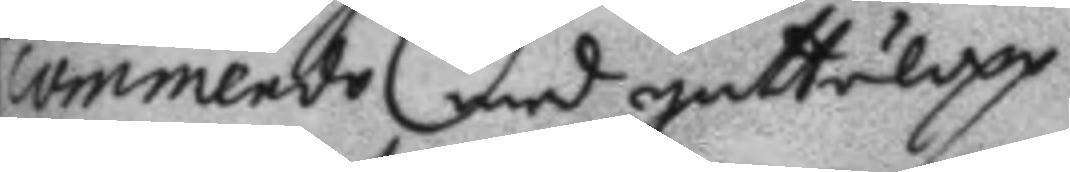commendo med gattulopp
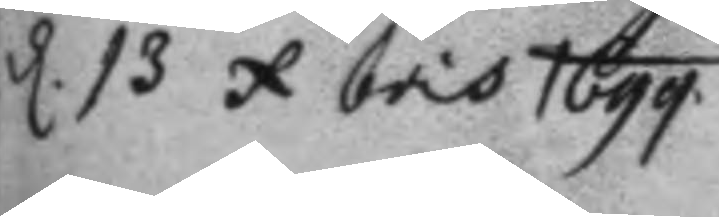d. 13 x bris 1699.
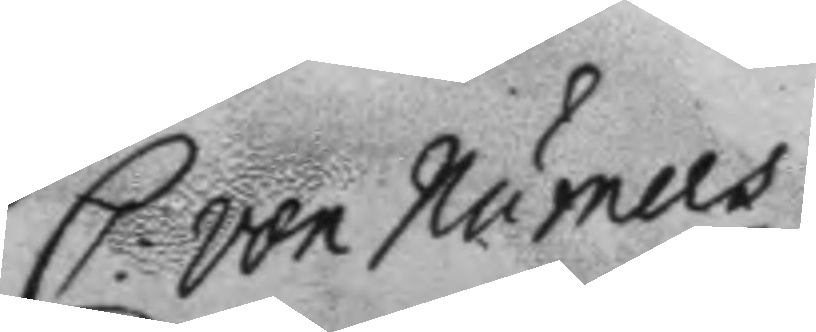C: von Numers
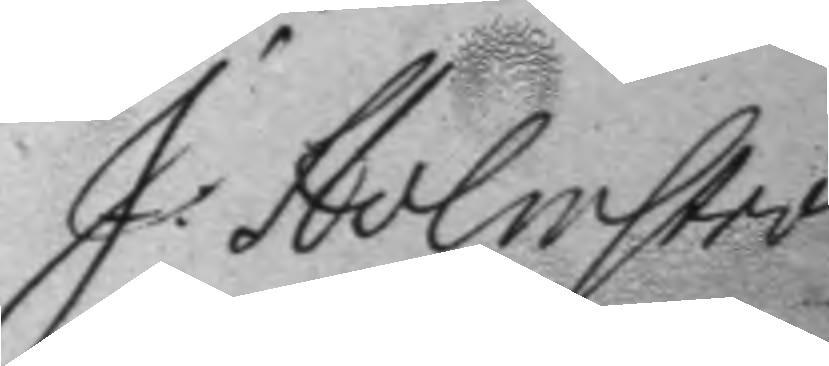J. Holmström
